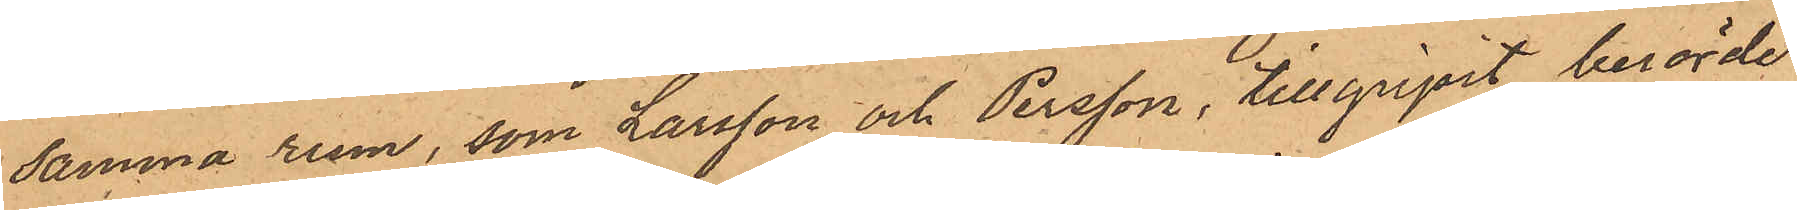samma rum, som Larsson och Persson, tillgripit berörde
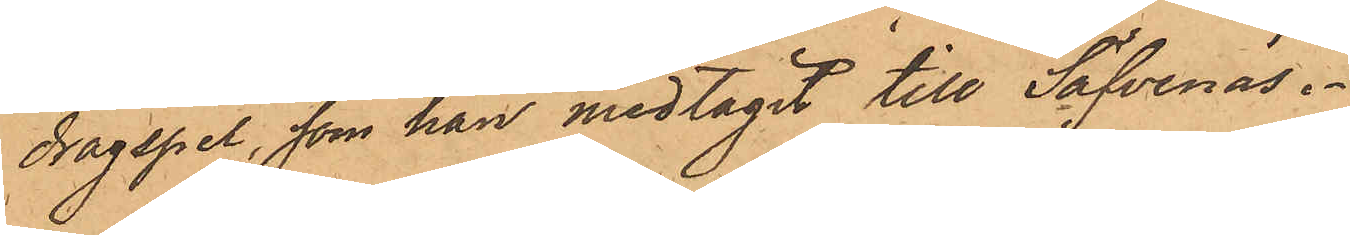dragspel, som han medtagit till Säfvenäs.
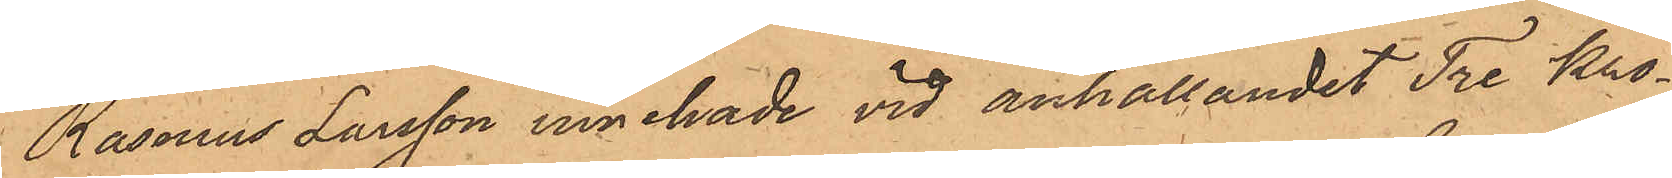Rasmus Larsson innehade vid anhållandet Tre Kro¬
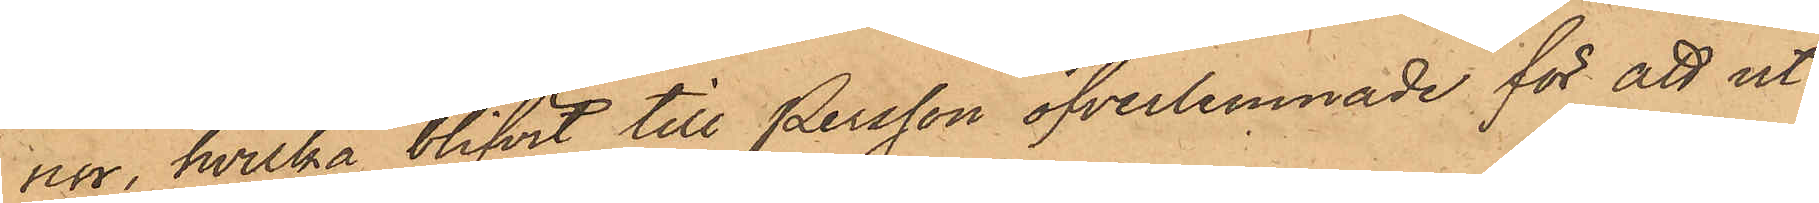nor, hvilka blifvit till Persson öfverlemnade för att ut¬
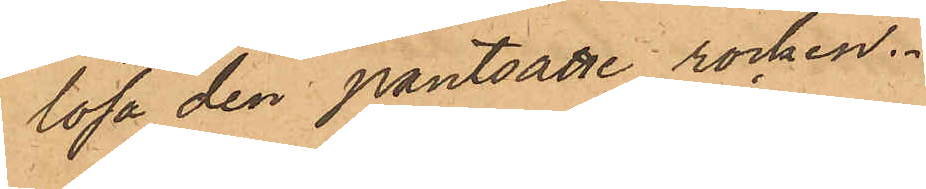lösa den pantsatte rocken.
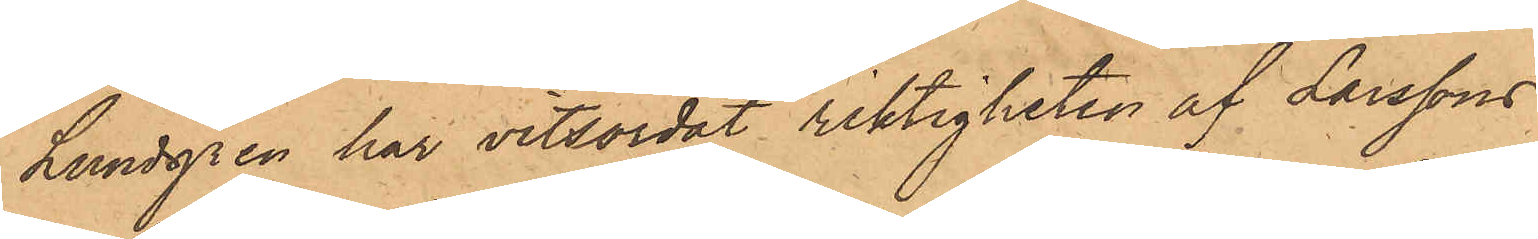Lundgren har vitsordat riktigheten af Larssons
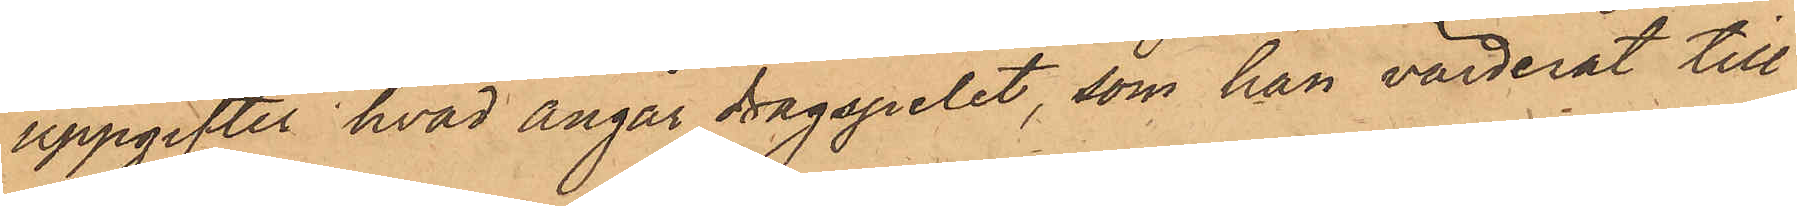uppgifter hvad ångår dragspelet, som han värderat till
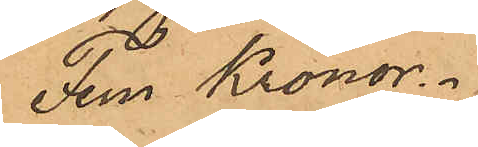Fem Kronor.
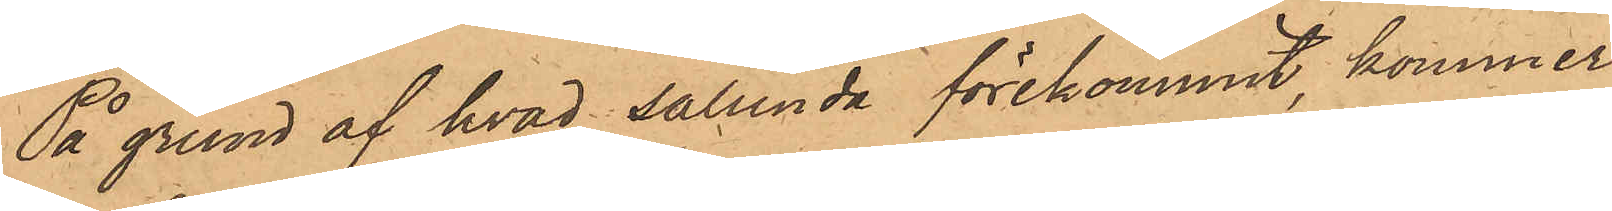På grund af hvad sålunda förekommit, kommer
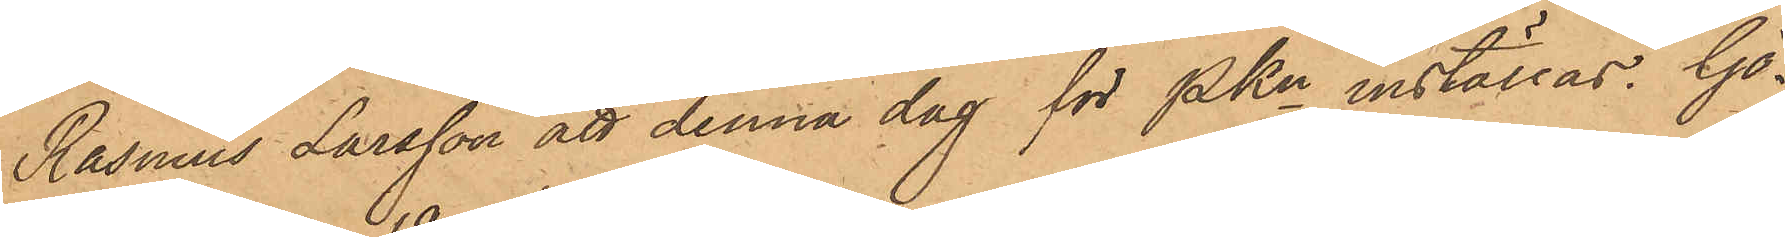Rasmus Larsson att denna dag för PKn inställas. Gö¬
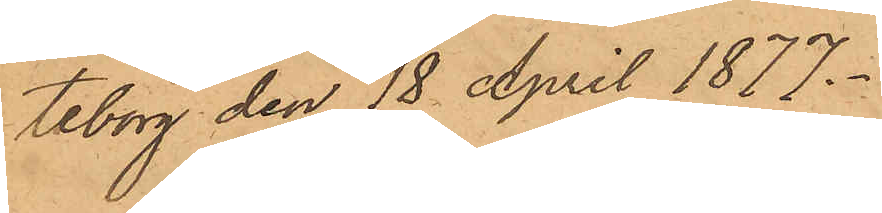teborg den 18 April 1877.
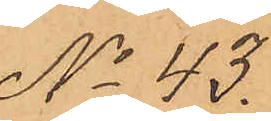No 43.
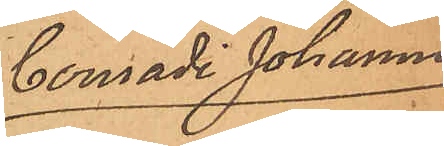Conradi Johanni
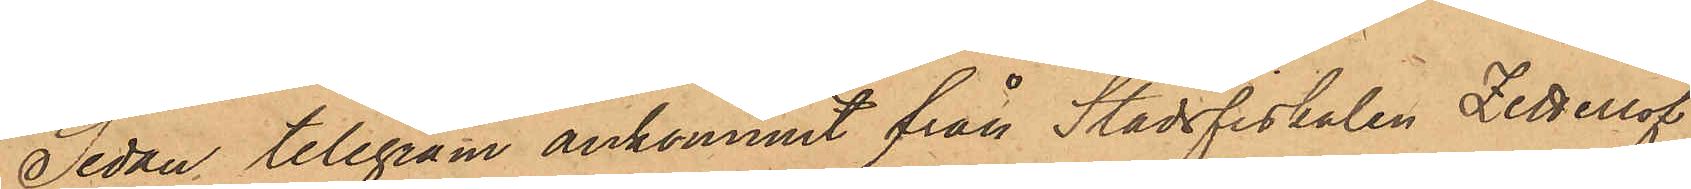Sedan telegram ankommit från Stadsfiskalen Zetterlöf
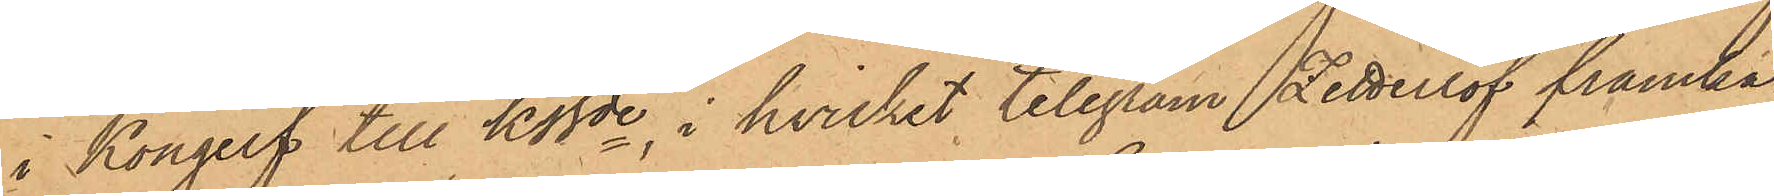i Kongelf till Klfde, i hvilket telegram Zetterlöf framka¬
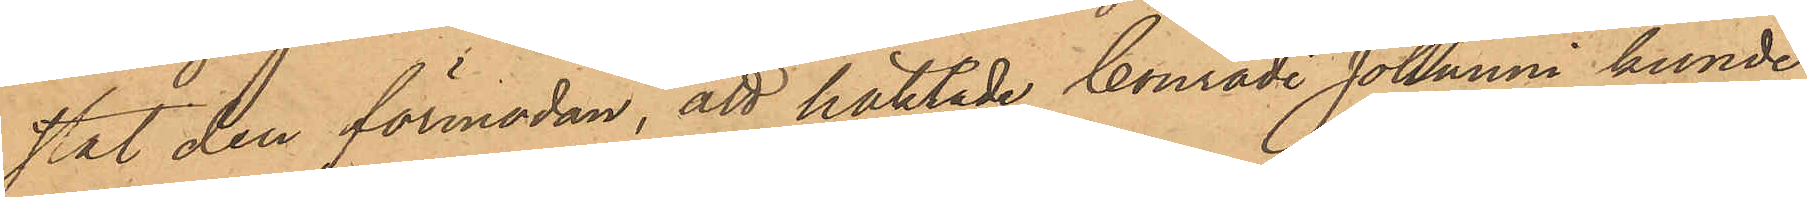stat den förmodan, att häktade Conradi Johanni kunde
